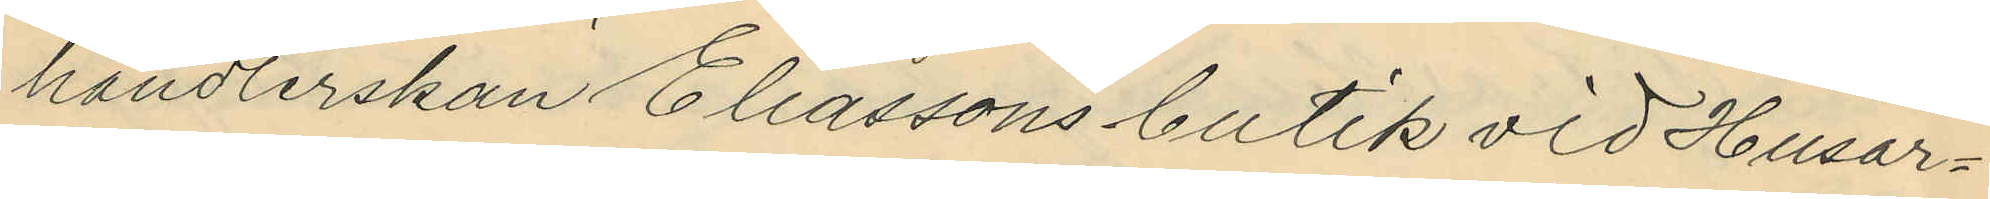handlerskan Eliassons butik vid Husar¬
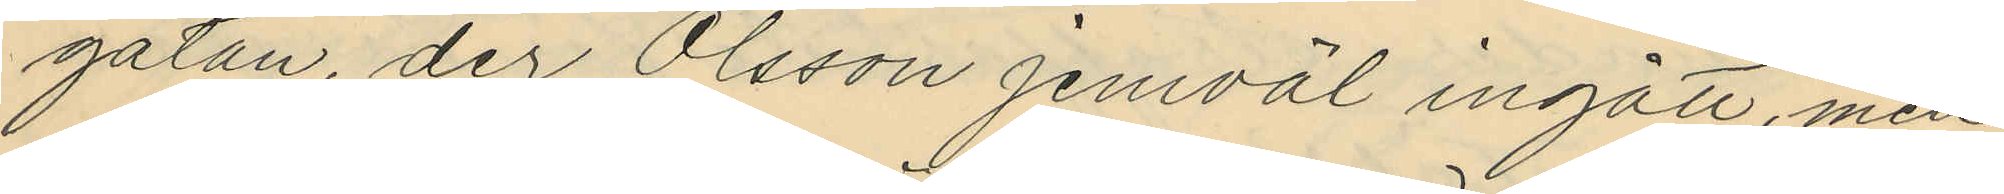gatan, der Olsson jemväl ingått, men
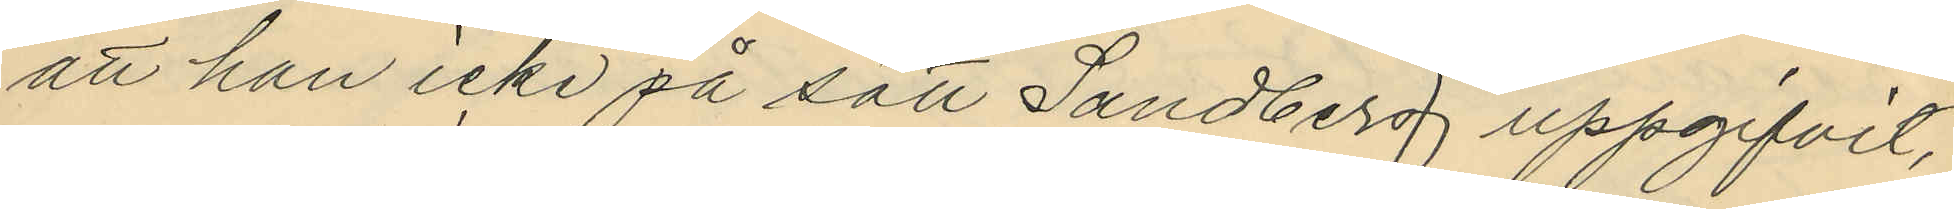att han icke på sätt Sandberg uppgifvit,
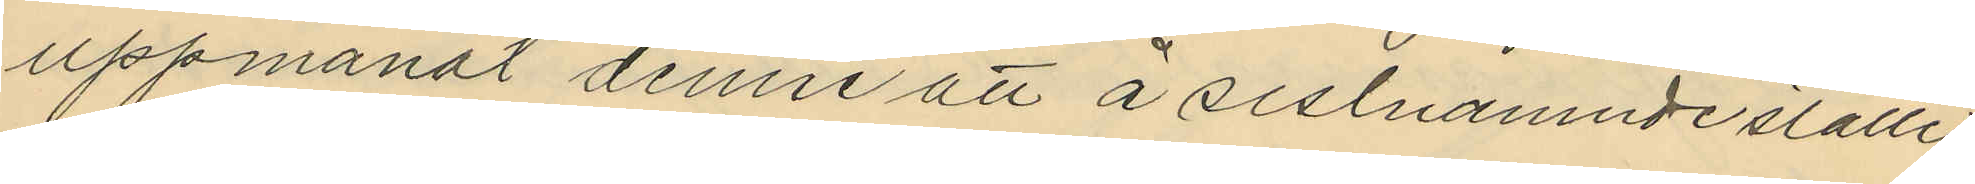uppmanat denne att å sistnämnde ställe
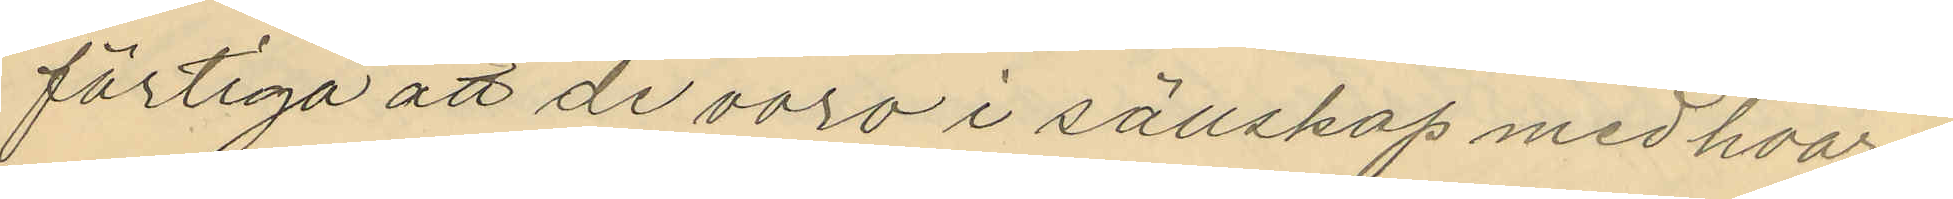förtiga att de voro i sällskap med hvar¬
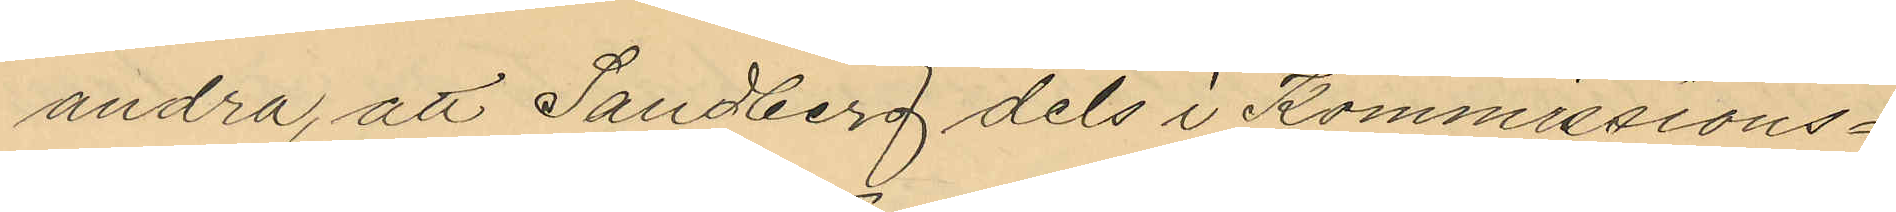andra, att Sandberg dels i Kommissions¬
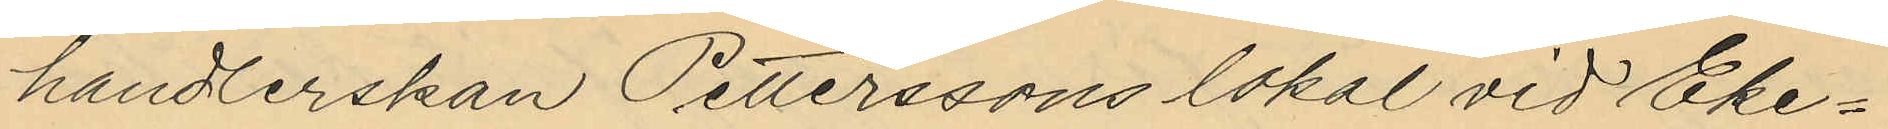handlerskan Petterssons lokal vid Eke¬
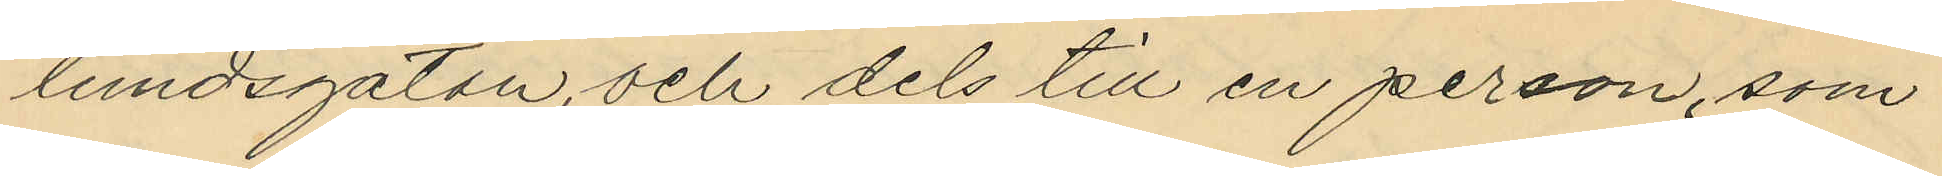lundsgatan, och dels till en person, som
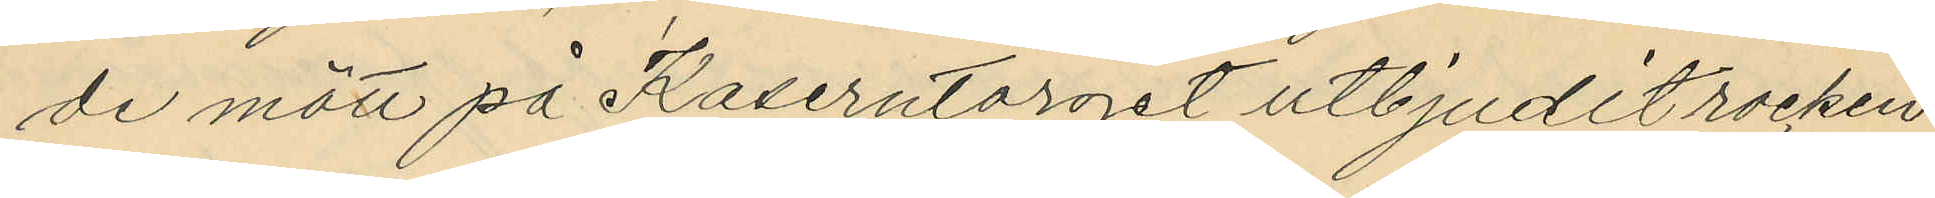de mött på Kaserntorget utbjudit rocken
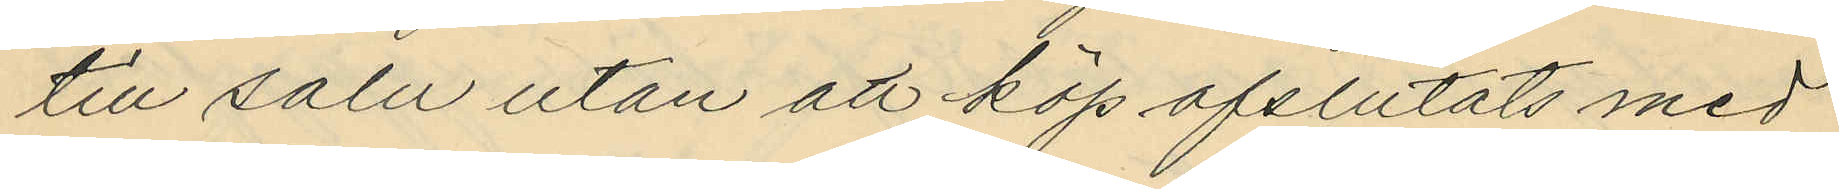till salu utan att köp afslutats med
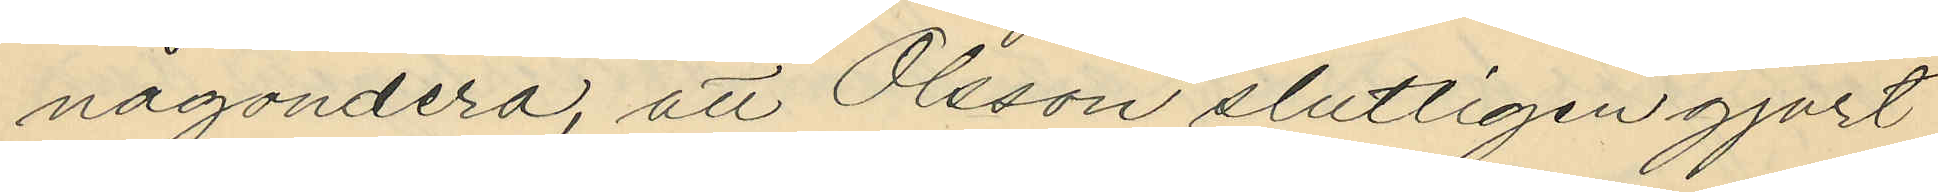någondera, att Olsson slutligen gjort
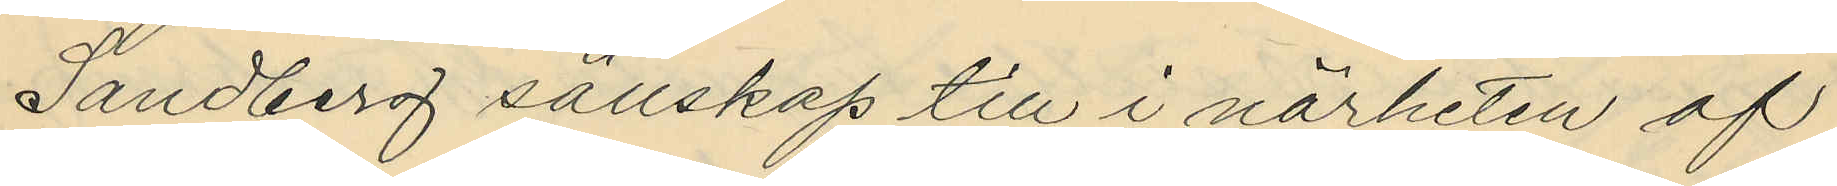Sandberg sällskap till i närheten af
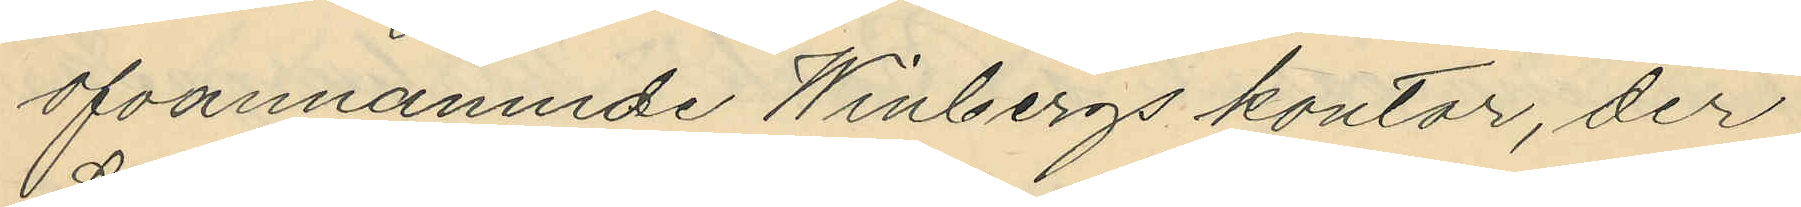ofvannämnde Winbergs kontor, der
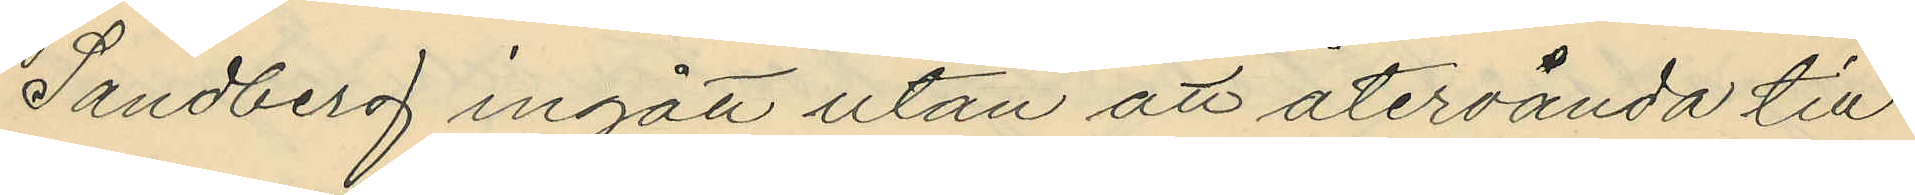Sandberg ingått utan att återvända till
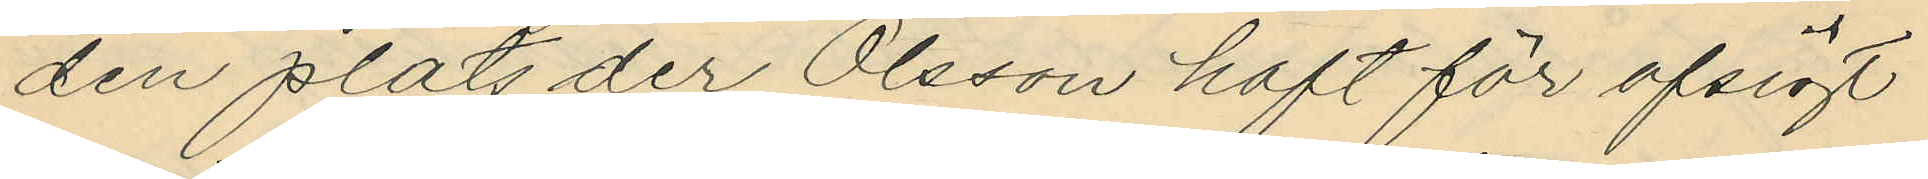den plats der Olsson haft för afsigt
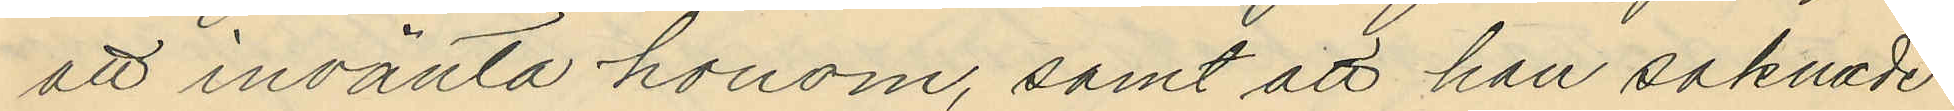att invänta honom, samt att han saknade
